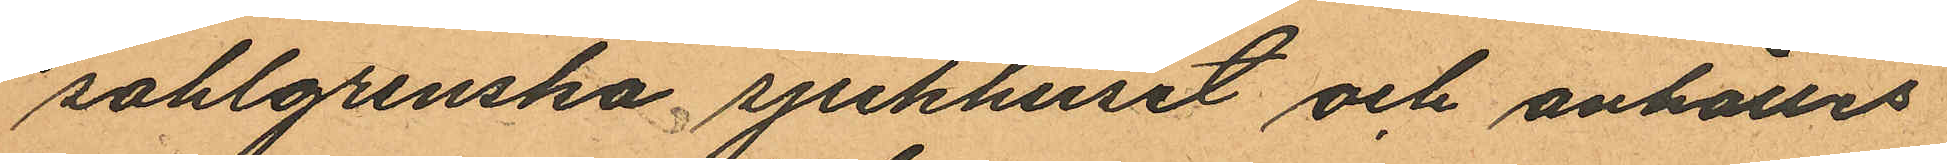sahlgrenska sjukhuset och anhålles
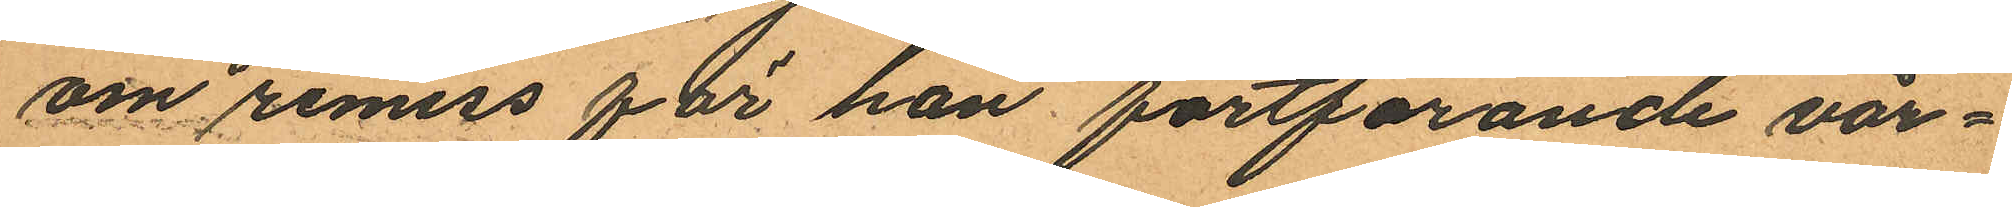om remiss för han fortfarande vår¬
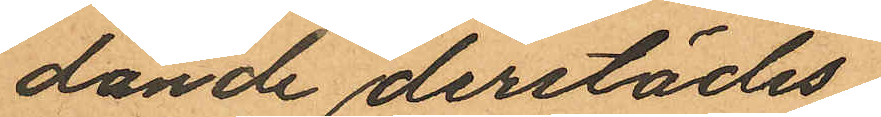dande derstädes.
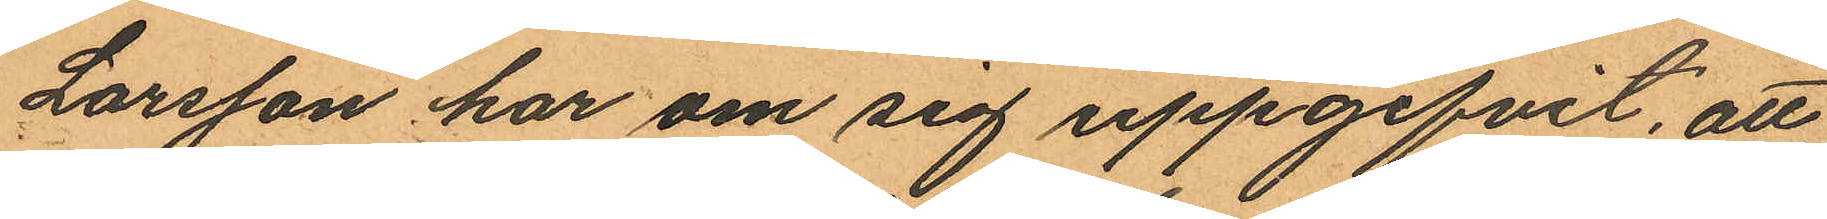Larsson har om sig uppgifvit, att
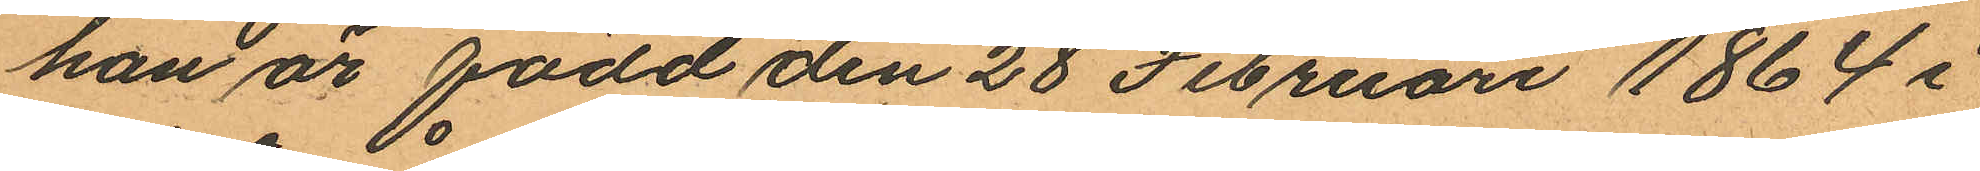han är född den 28 Februari 1864 i
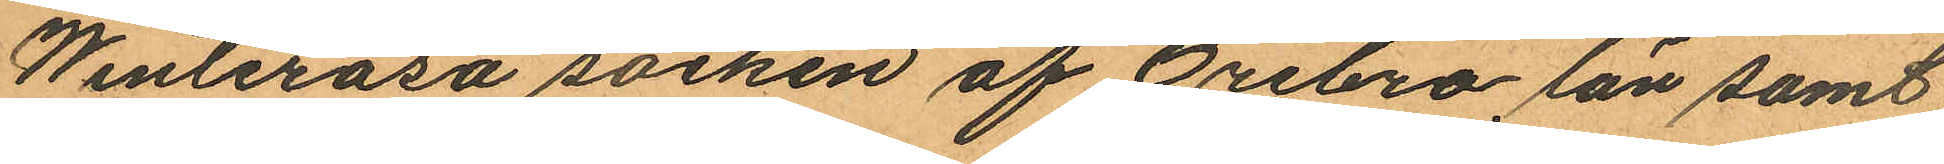Winteråsa socken af Örebro län samt
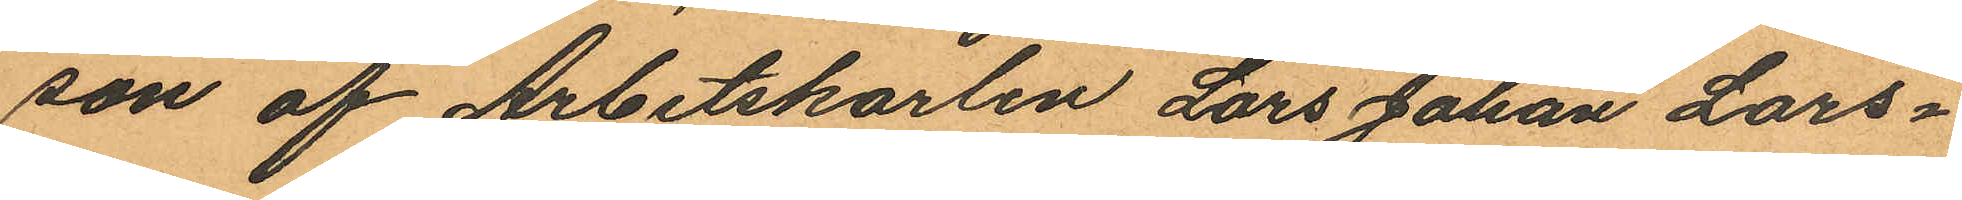son af Arbetskarlen Lars Johan Lars¬
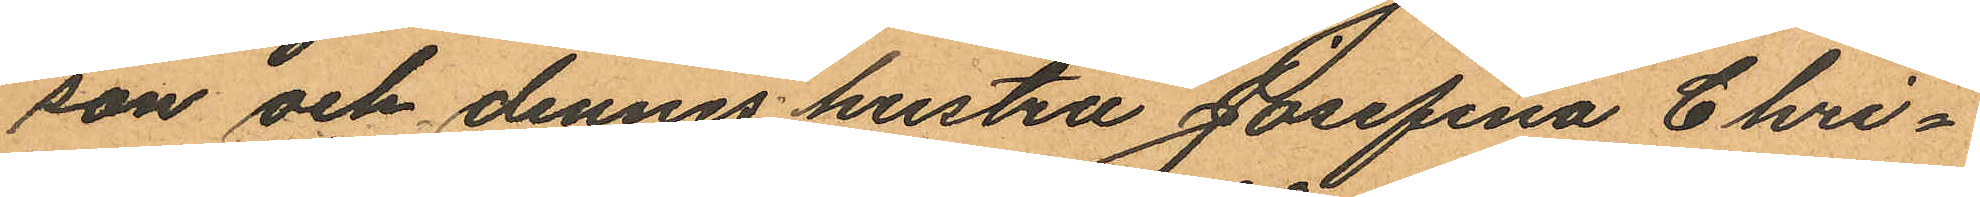son och dennes hustru Josefina Chri¬
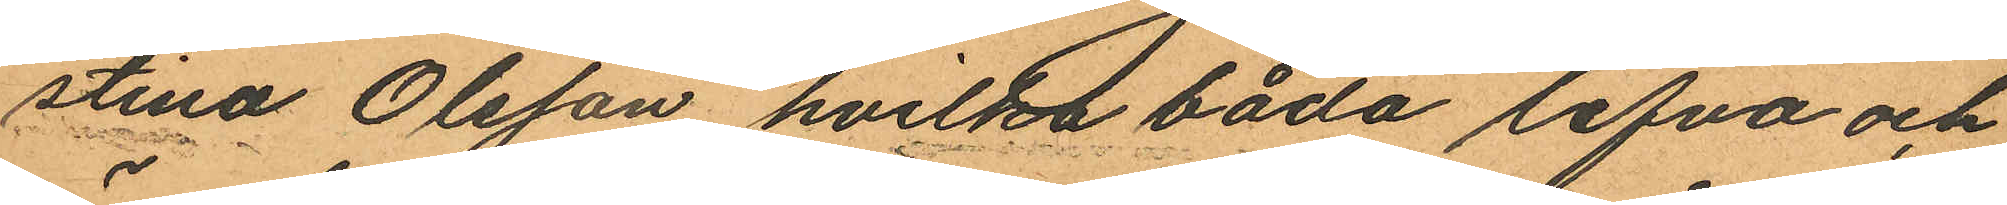stina Olsson, hvilka båda lefva och
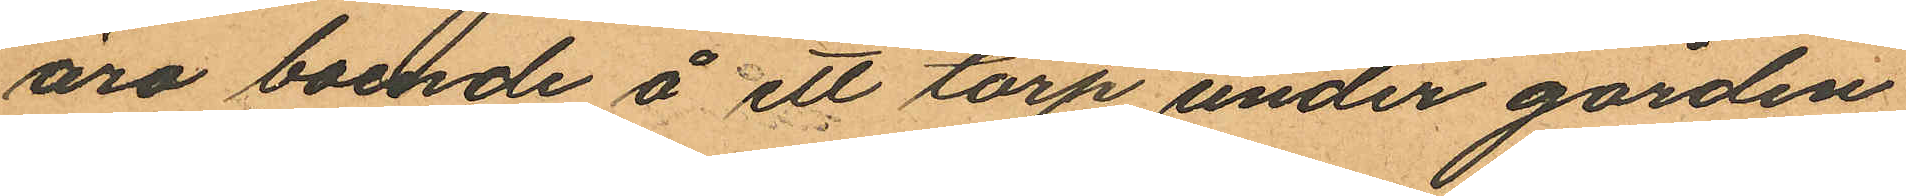äro boende å ett torp under gården
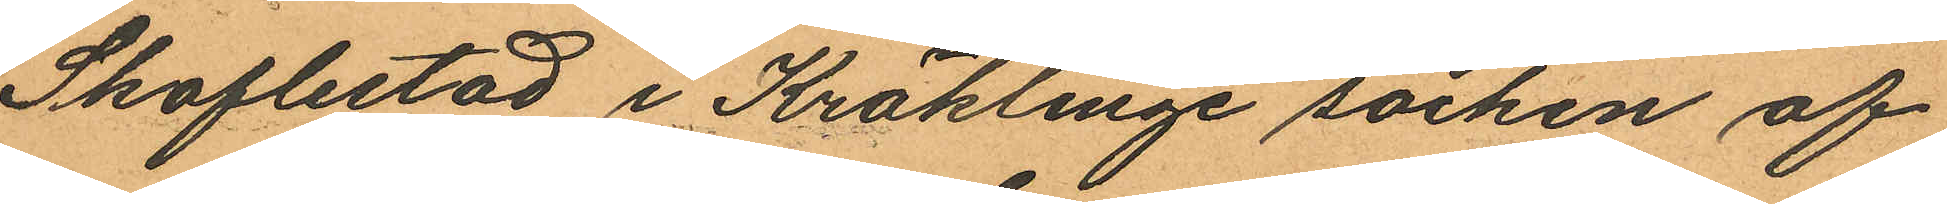Skoflestad i Kräklinge socken af
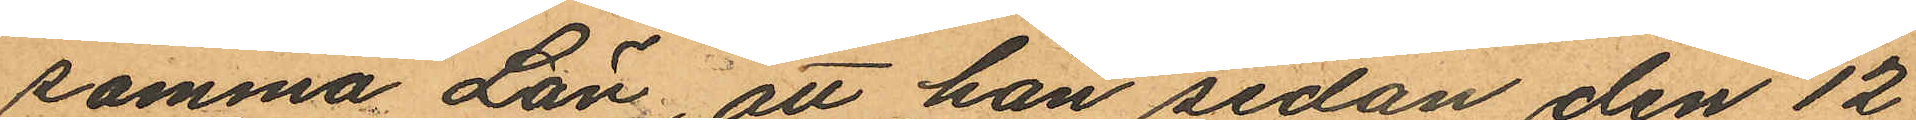samma Län, att han sedan den 12
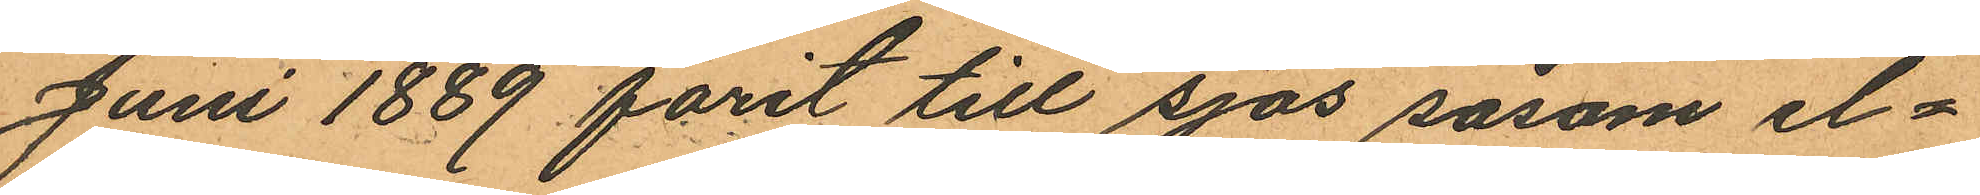Juni 1889 först till sjös såsom el¬
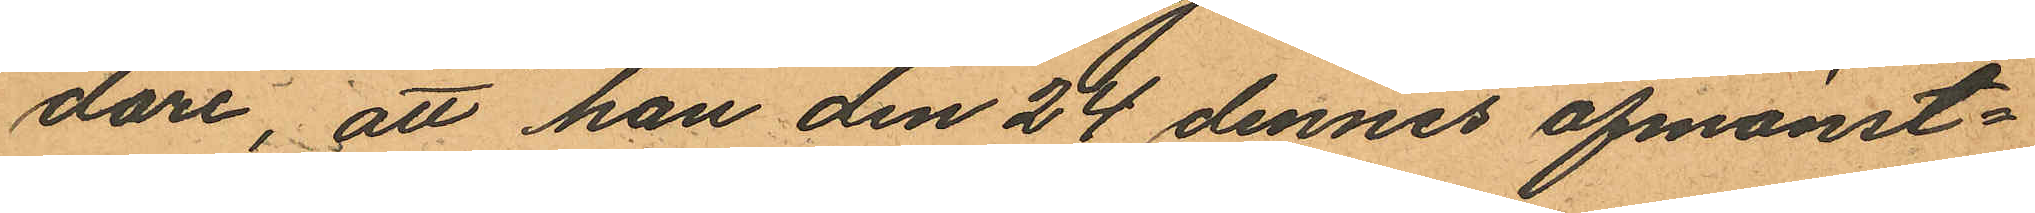dare, att han den 24 dennes afmönst¬
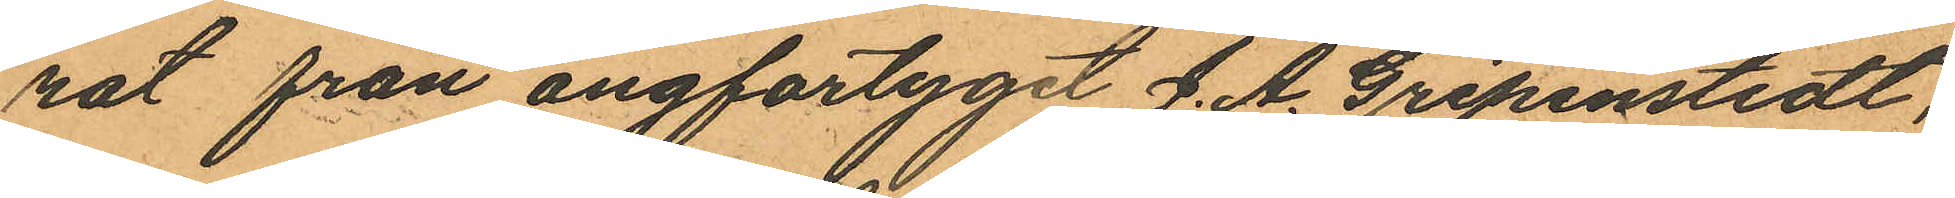rat från ångfartyget J. A. Gripenstedt,
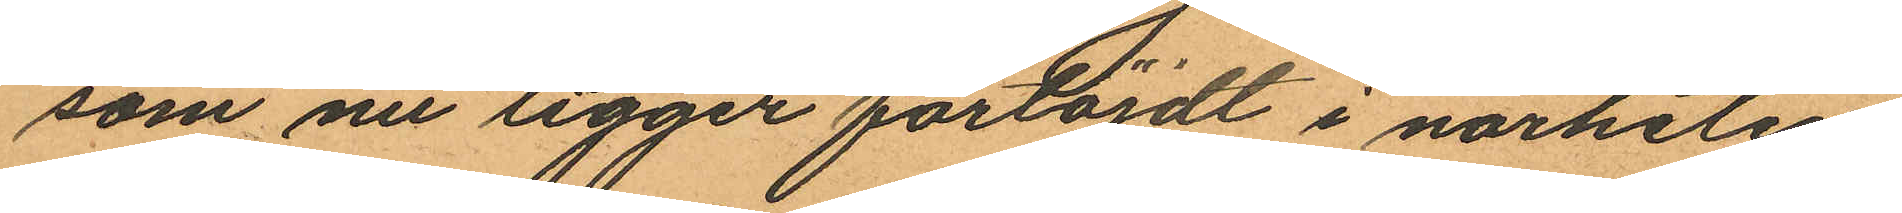som nu ligger förtöjdt i närheten
